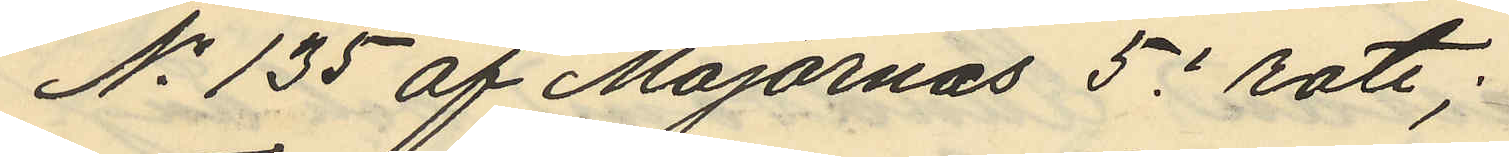No 135 af Majornas 5e rote;
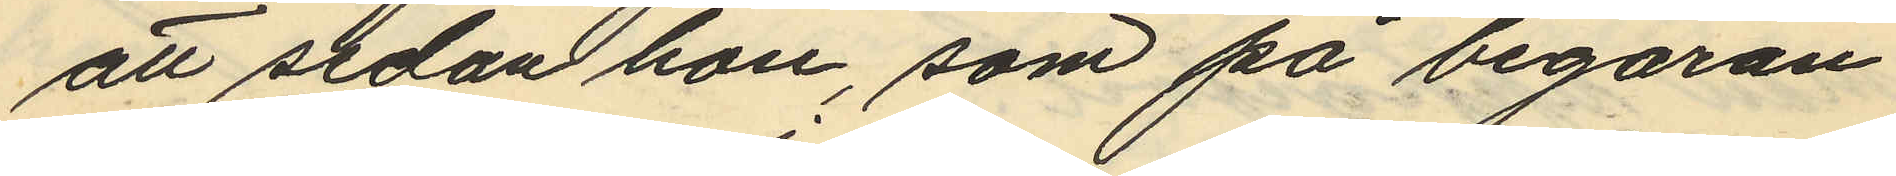att sedan hon, som på begäran
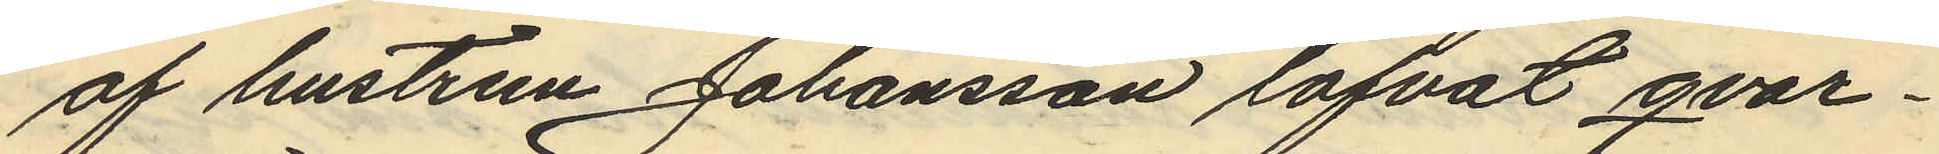af hustrun Johansson lofvat qvar¬
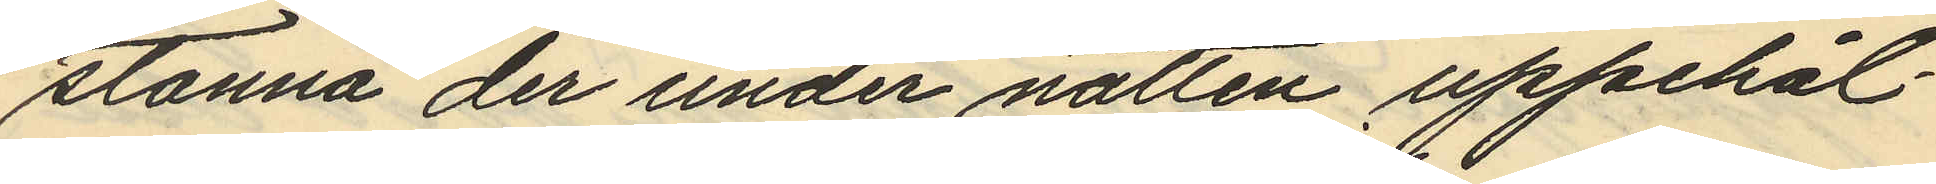stanna der under natten uppehål¬
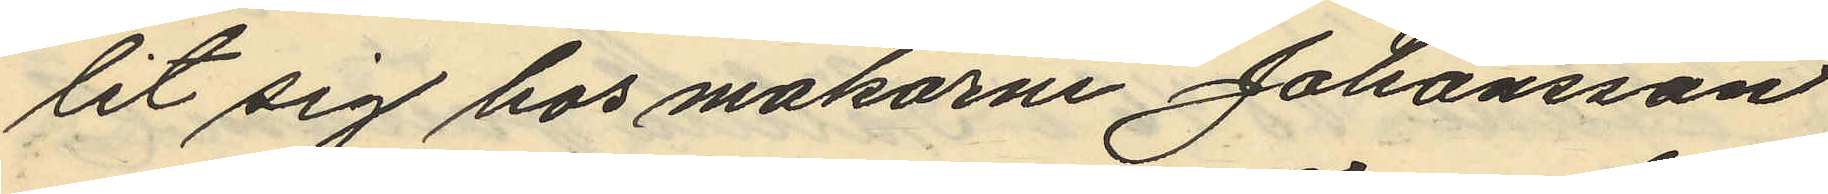lit sig hos makarne Johansson
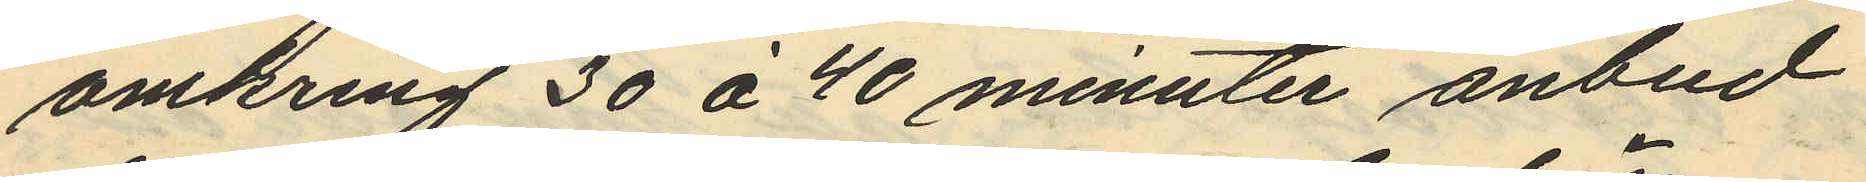omkring 30 à 40 minuter anbud
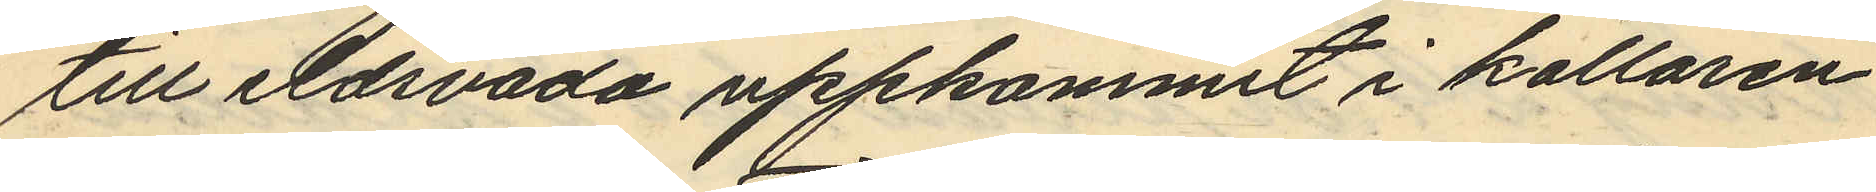till eldsvåda uppkommit i källaren
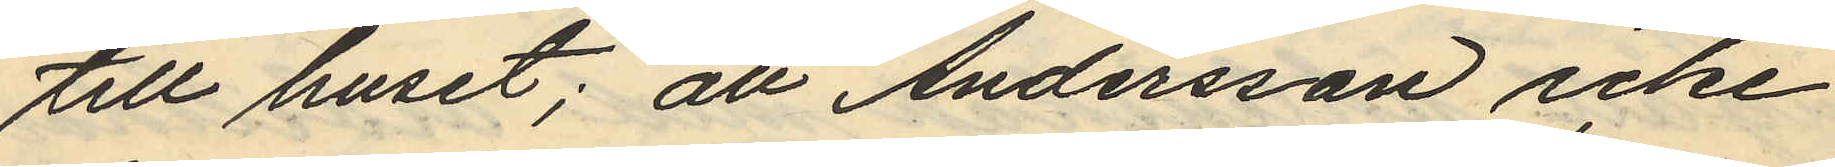till huset; att Andersson icke
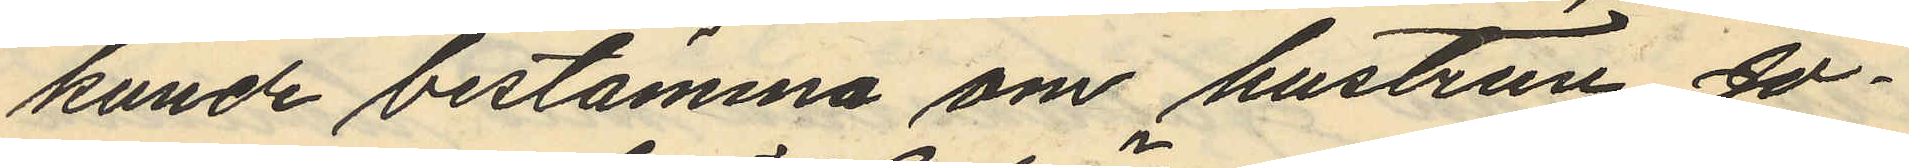kunde bestämma om hustrun Jo¬
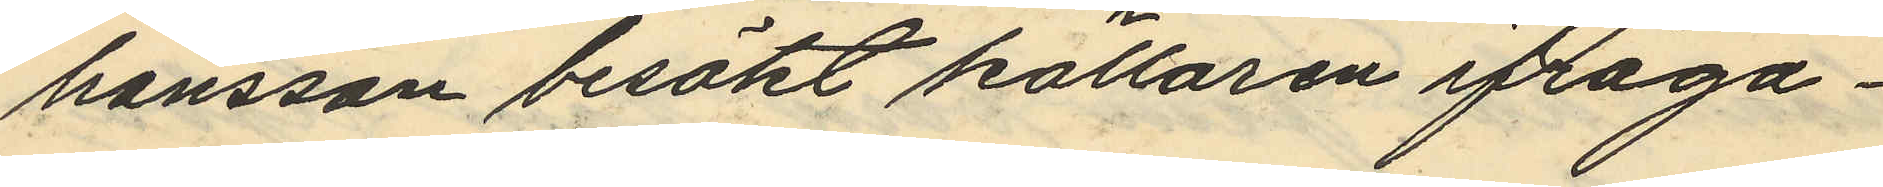hansson besökt källaren ifråga¬
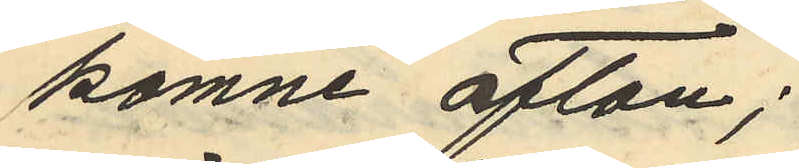komne afton;
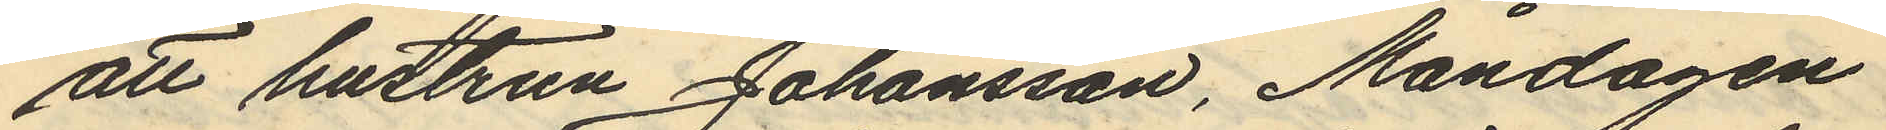att hustrun Johansson, Måndagen
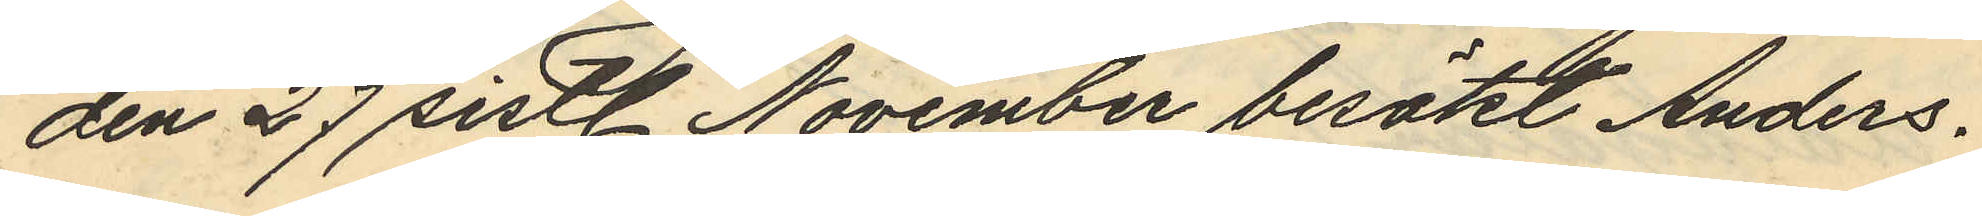den 27 sistl. November besökt Anders¬
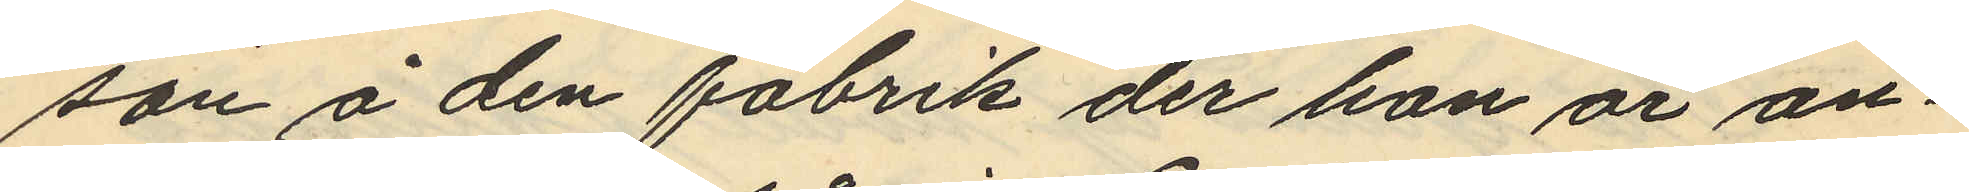son å den fabrik der hon är an¬
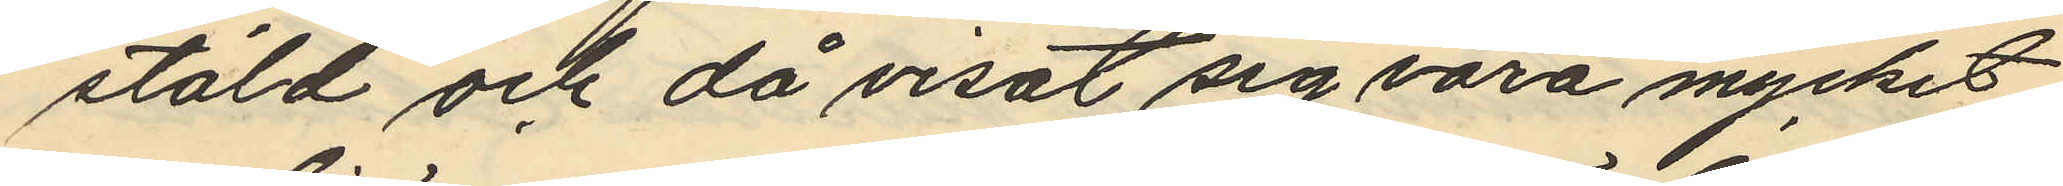stäld och då visat sig vara mycket
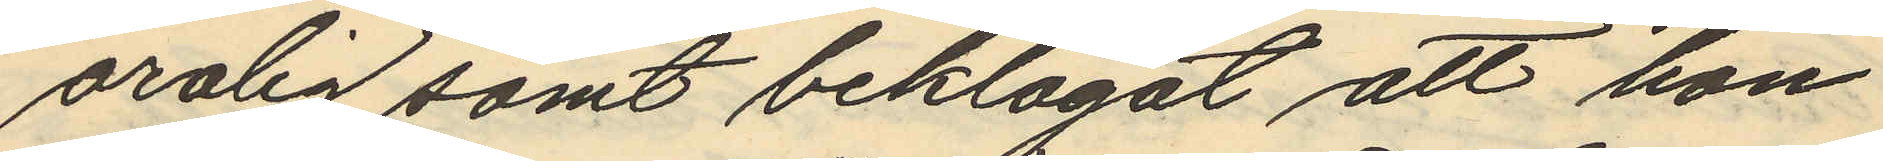orolig samt beklagat att hon
